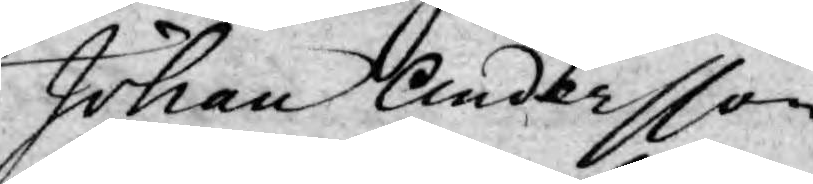Johan Andersson.
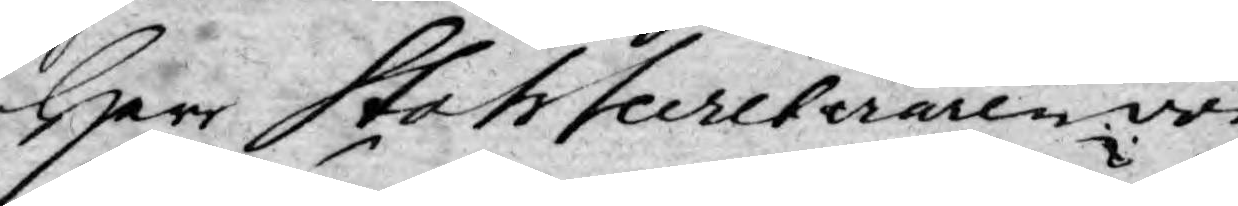Herr StatsSecreteraren von
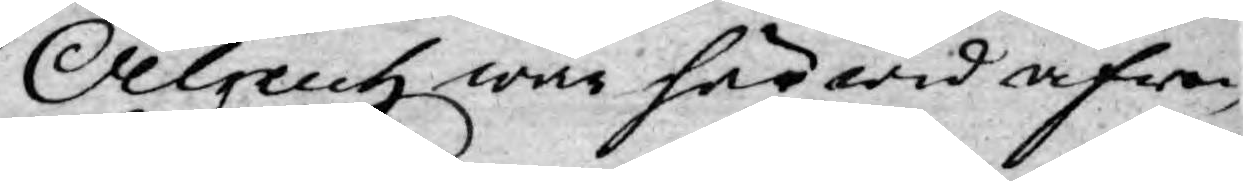Oelreich war här wid äfwen
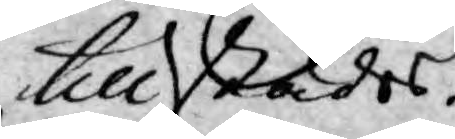tillstädes.
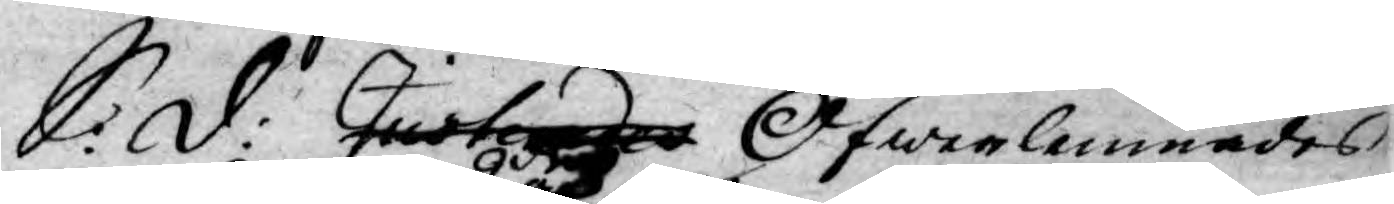S: d: Justerades Öfwerlemnades
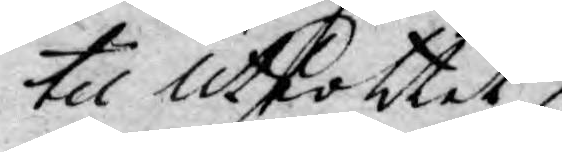til Utkottet 
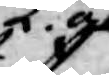2dra och
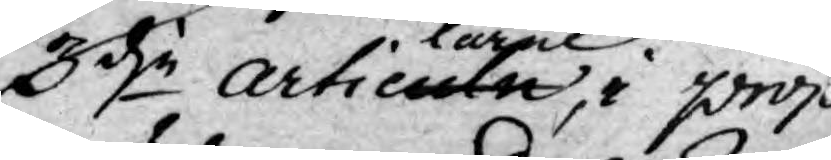3dje articullarne, i proj
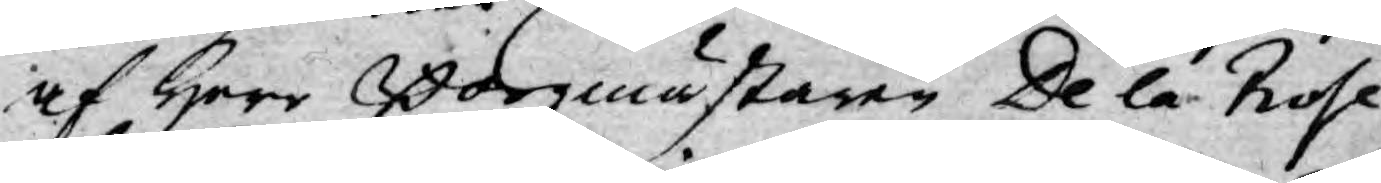af Herr Borgmästaren De la Rose
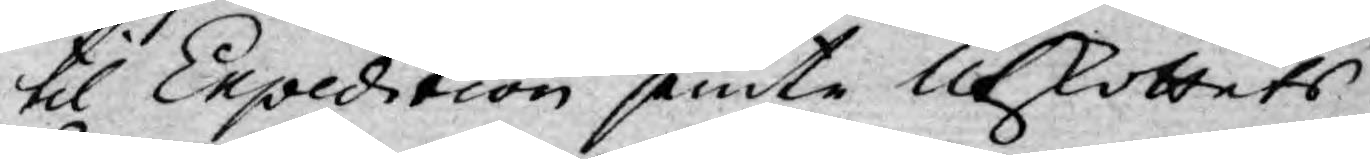til Expedition jemte Utskottets
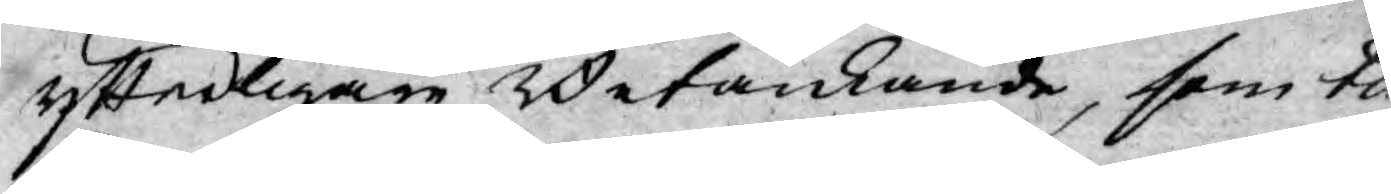ytterligare Betänkande, som til
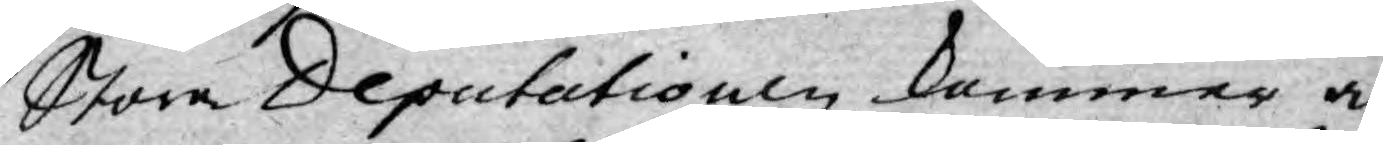Stora Deputationen kommer a
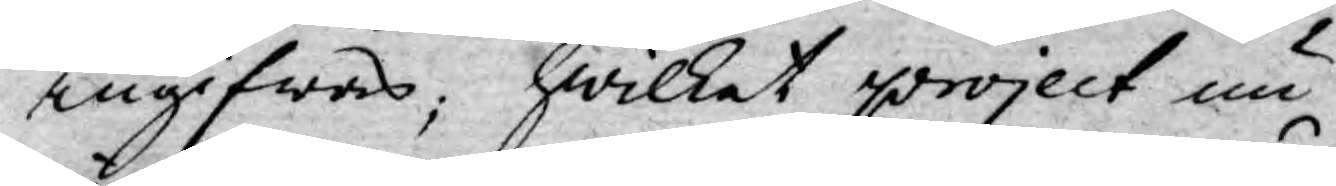ingifwas; hwilket project nu
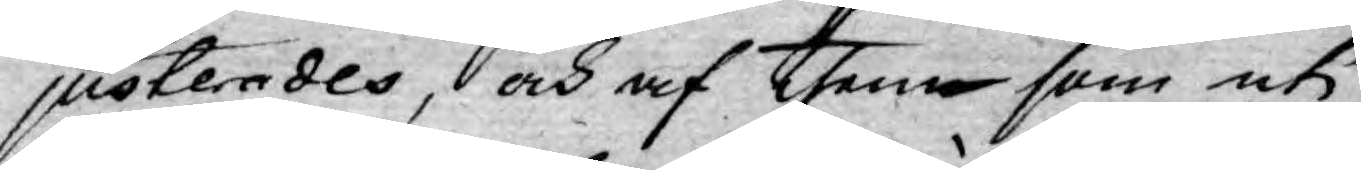justerades, och af them som uti
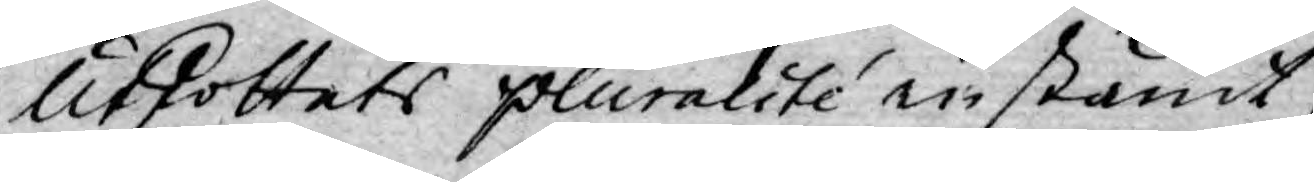Utskottets pluralité instämt,
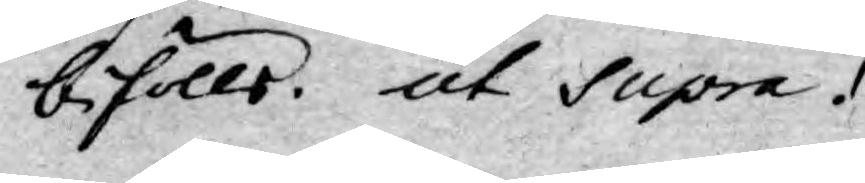befölle. ut Supra.
